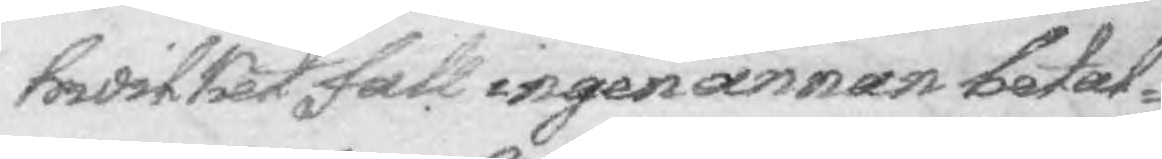hwilket fall ingen annan betal¬
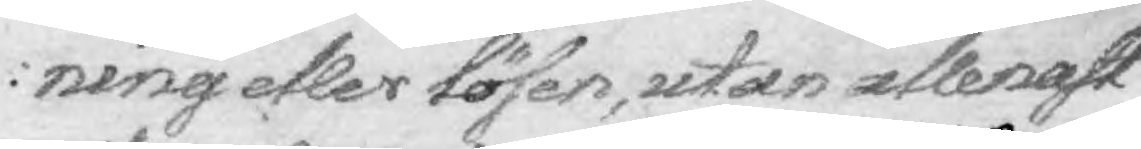ning eller lönsen, utan allenast
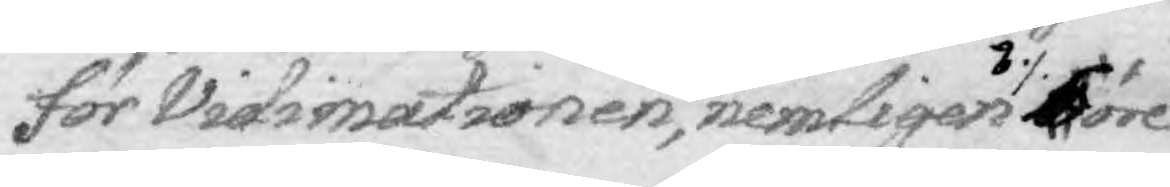för Vidimationen, nemligen 7 % G 4 öre
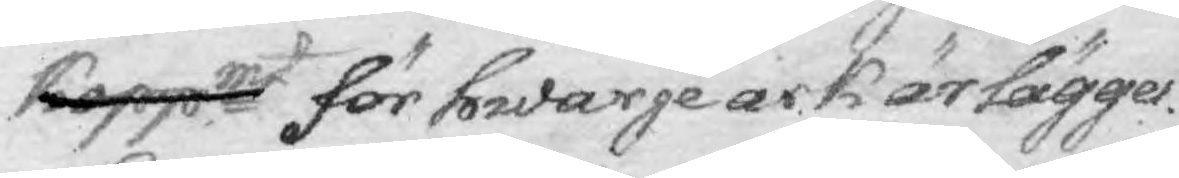Koppmt för hwarje ark ärlägges.
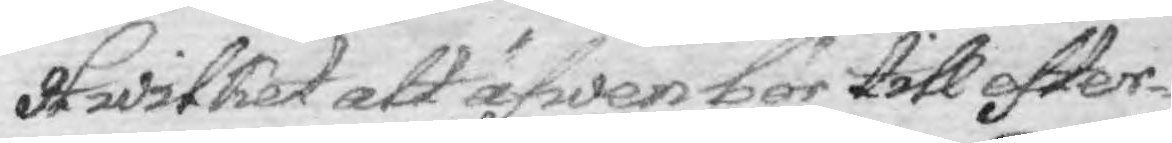Hwilket att äfwen bör till efter¬
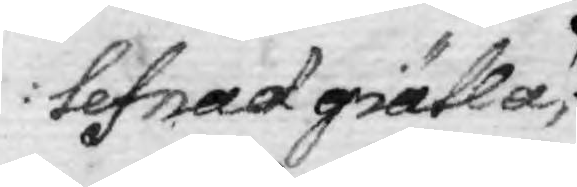lefnad giälla,
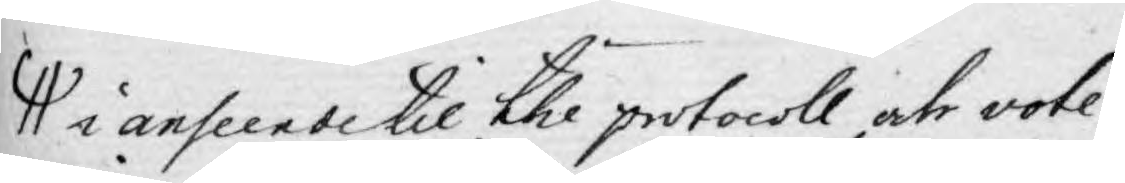i anseende til the protocoll uti vote¬
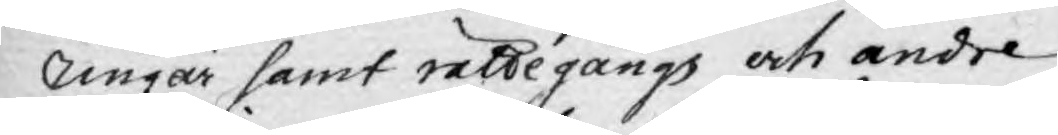ringar samt rättegångs och andre
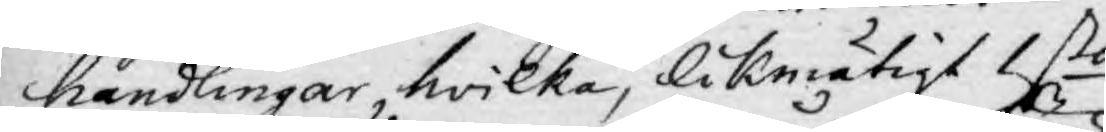handlingar, hwilka, likmätigt 1sta
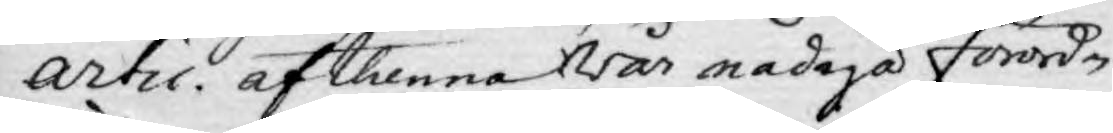Artic. af thenna Wår nådiga förordni¬
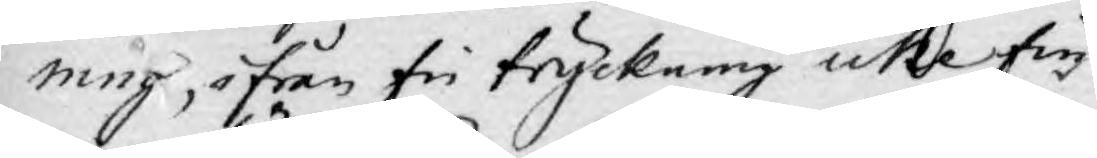ning, ifrån fri tryckning icke fin¬
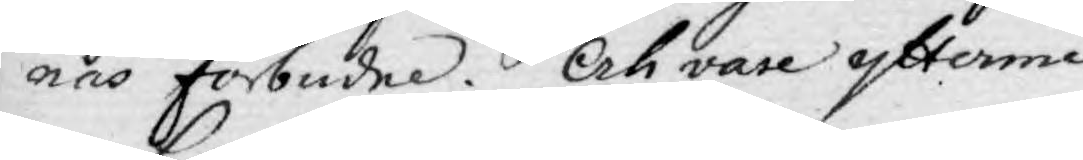nas förbudne. Och vare ytterme¬
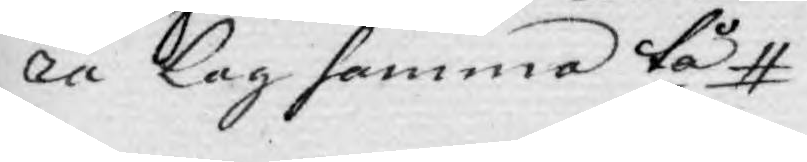ra Lag samma tå
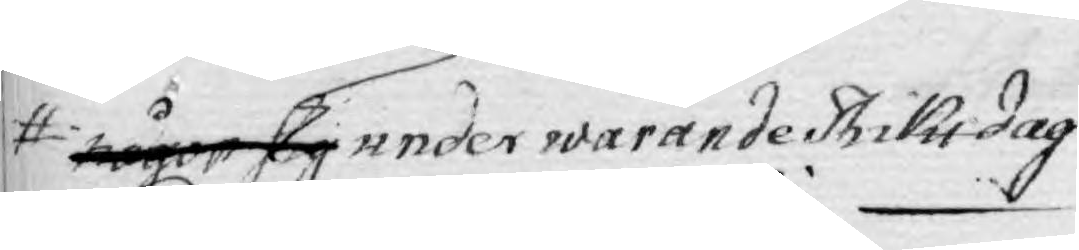någon sig under warande Riksdag
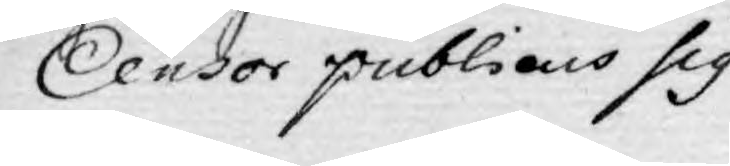Censor publicus sig
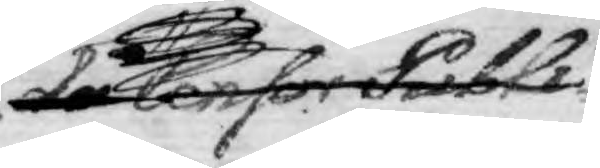då Censor Publi¬
